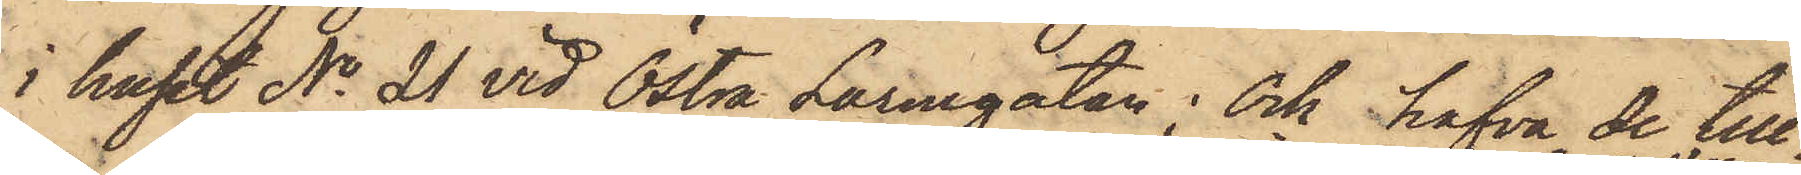i huset No 21 vid Östra Larmgatan; och hafva de till¬
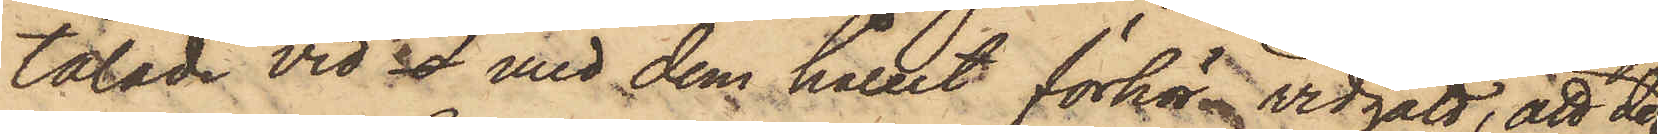talade vid d med dem hållit förhör vidgått, att de
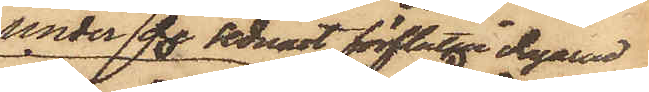under de sednast förflutna dagarne
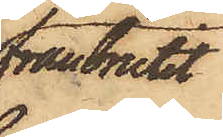frånbrutit
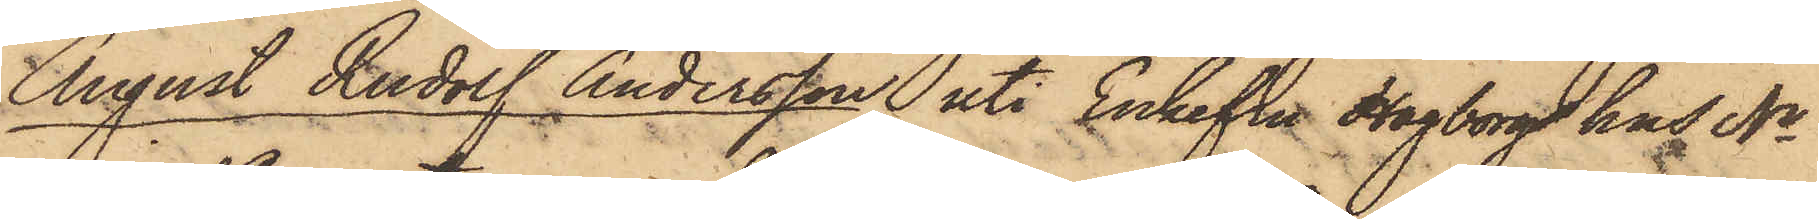August Rudolf Andersson uti Enkefru Hagborgs hus No
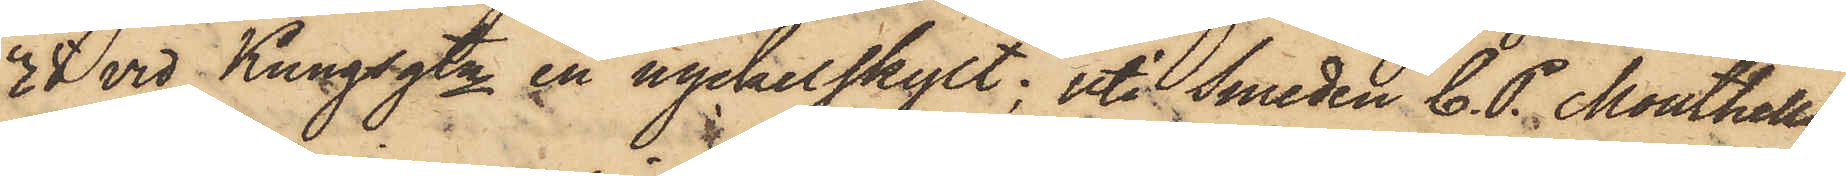38 vid Kungsgtn en nyckelskylt, uti Smeden C. P. Monthells
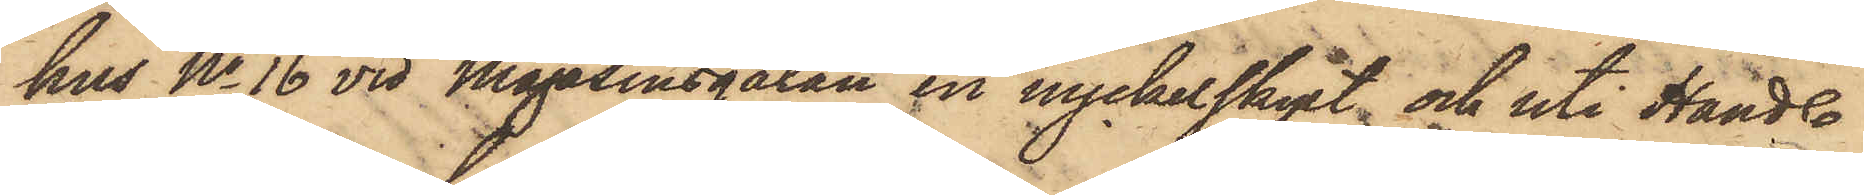hus No 16 vid Magasinsgatan en nyckelskylt och uti Handl.
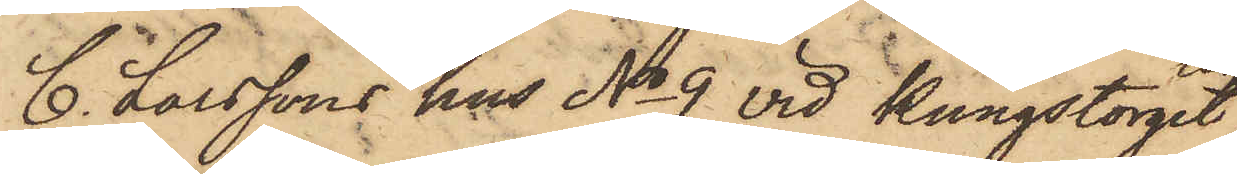C. Larssons hus No 9 vid Kungstorget
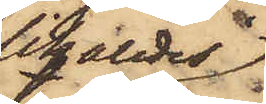likaledes
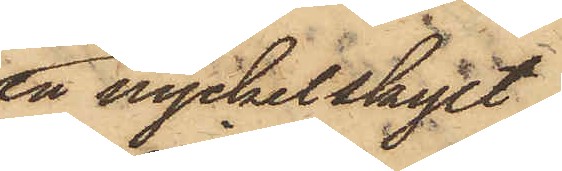en nyckelskylt,
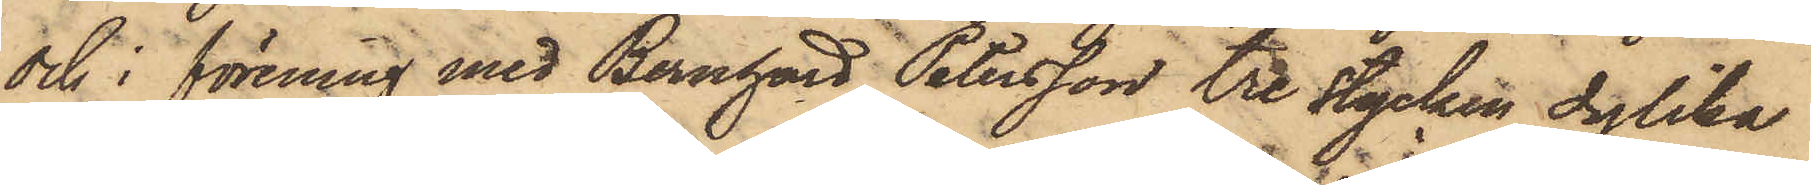och i förening med Bernhard Petersson tre stycken dylika
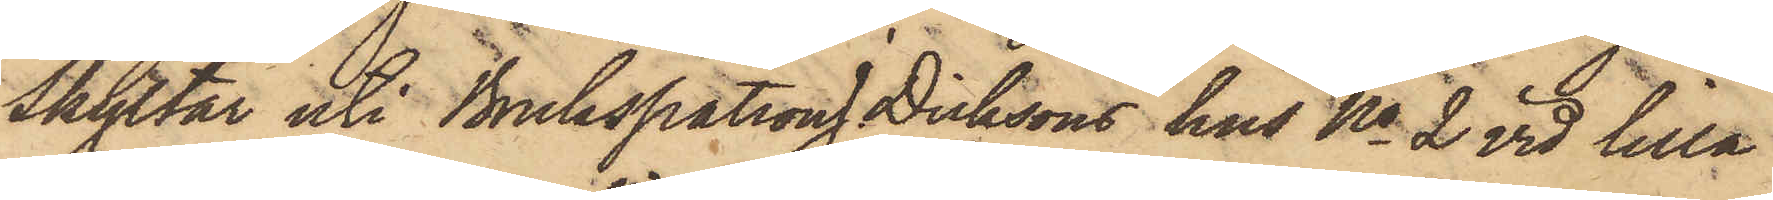Skyltar uti Brukspatron J. Dicksons hus No 2 vid lilla
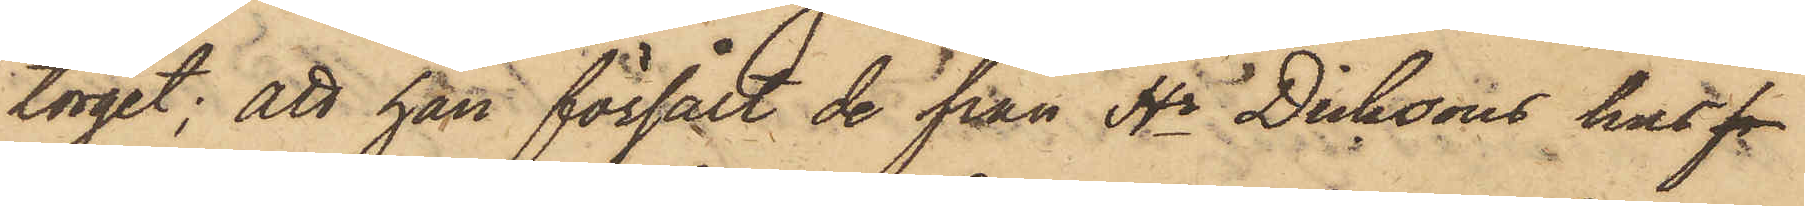torget; att han försålt de från Hr Dicksons hus f
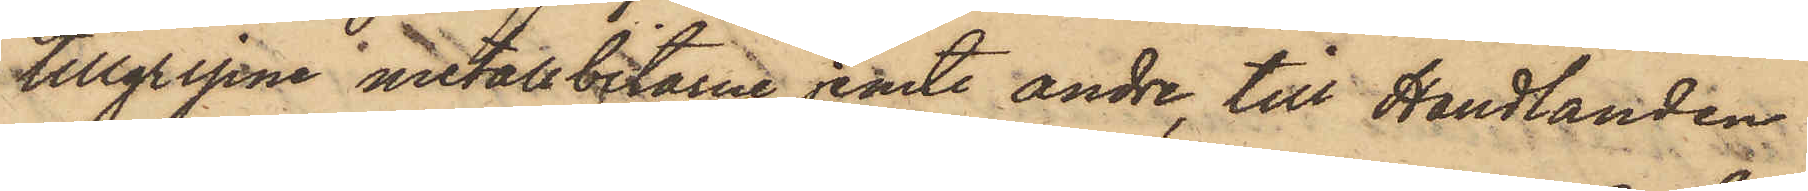tillgripne metallbitarne jemte andre, till Handlanden
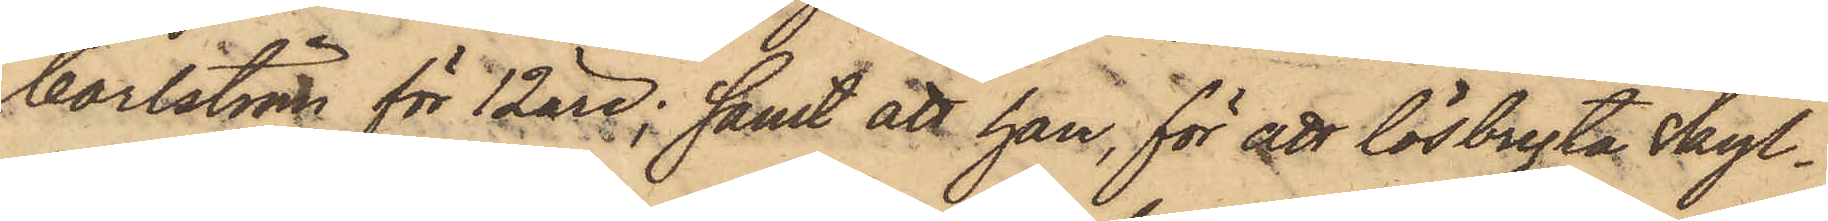Carlström för 12 öre; samt att han, för att lösbryta skyl¬
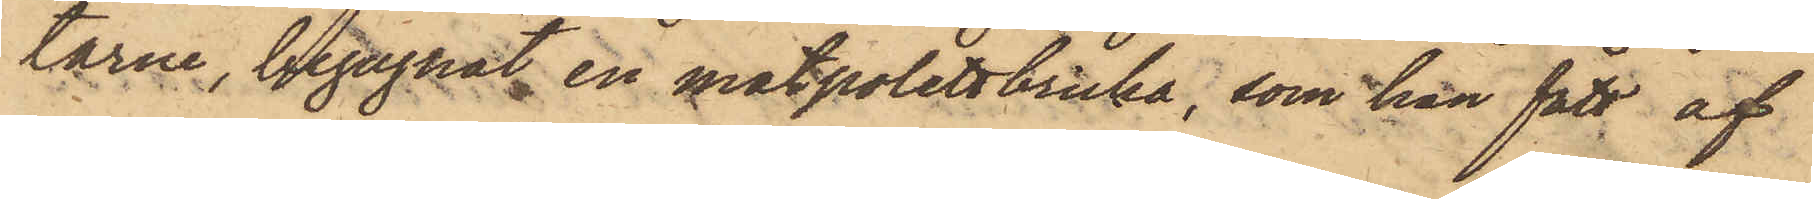tarne, begagnat en matpolettbricka, som han fått af
